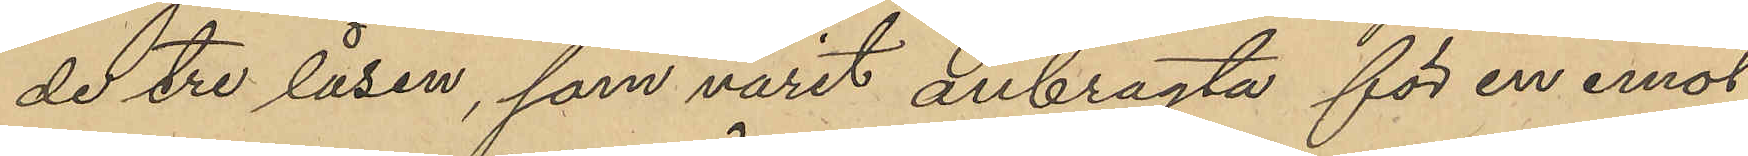de tre låsen, som varit anbragta för en emot
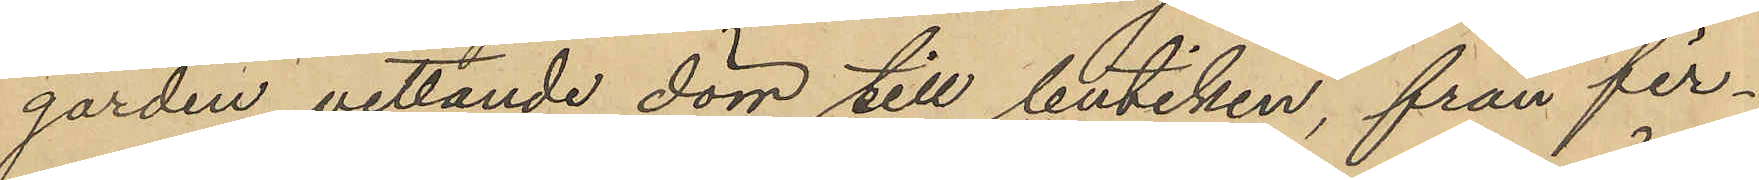gården vettande dörr till butiken, från fir¬
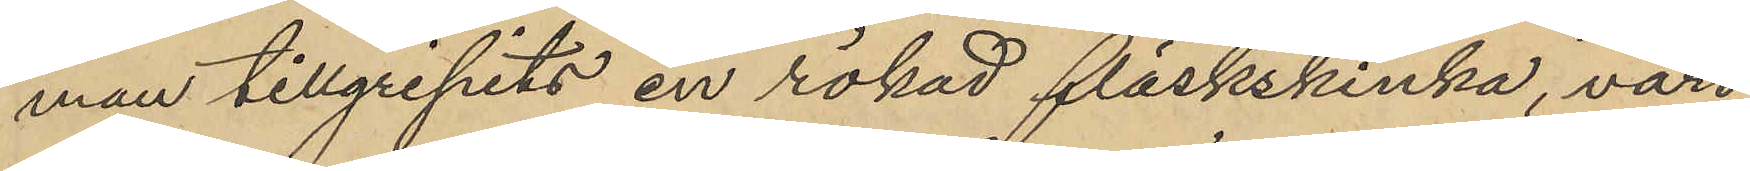man tillgripits en rökad fläskskinka, värd
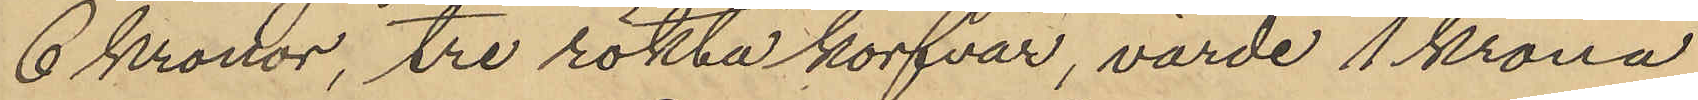6 Kronor, tre rökta korfvar, värde 1 Krona
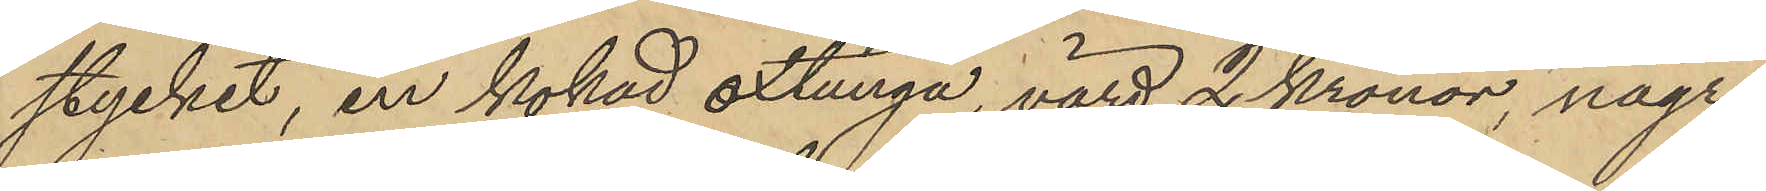stycket, en kokad oxtunga, värd 2 Kronor, några
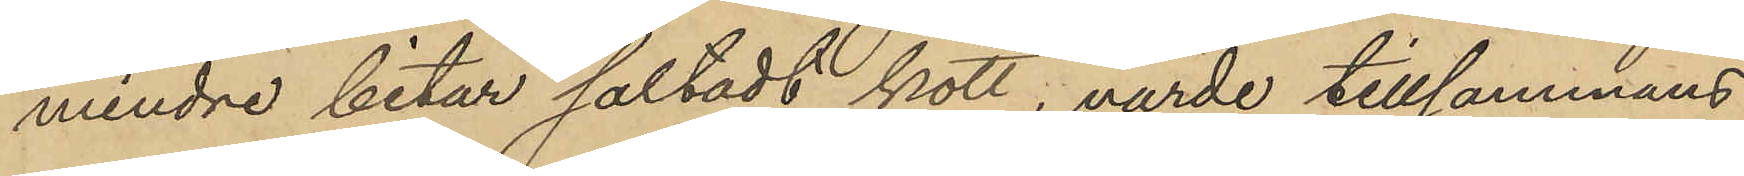mindre bitar saltadt kött, värde tillsammans
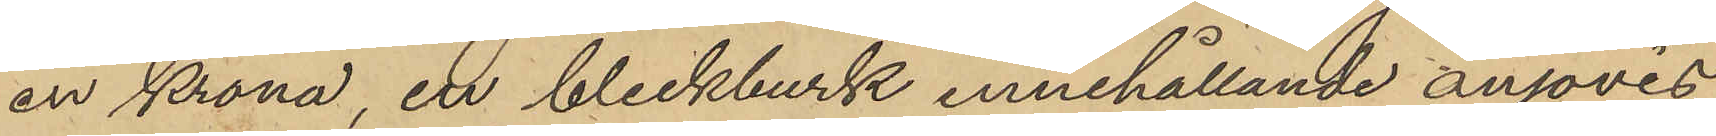en Krona, en bleckburk innehållande anjovis,
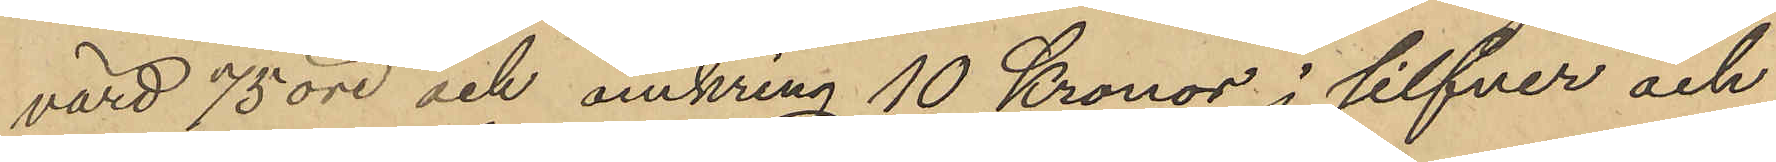värd 75 öre och omkring 10 Kronor i silfver och
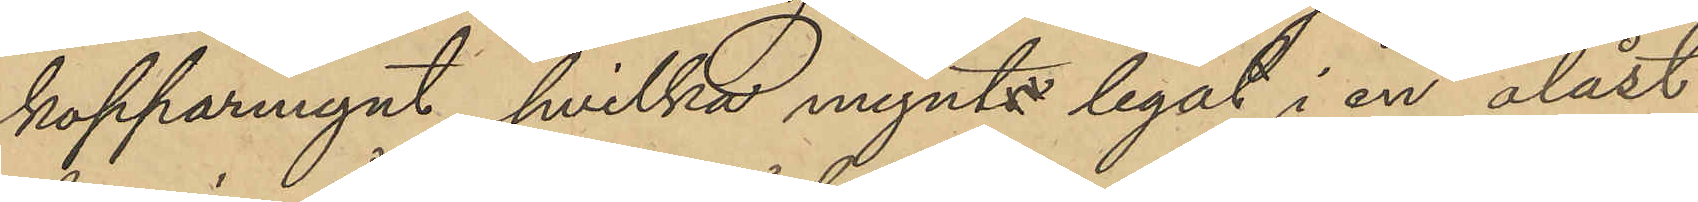kopparmynt, hvilka mynt legat i en olåst
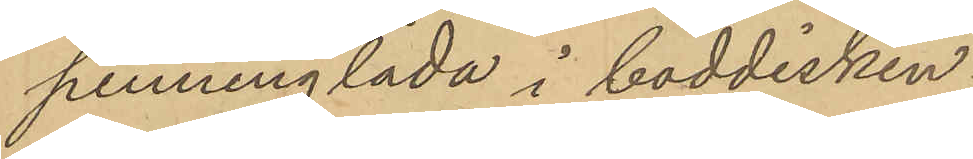penninglåda i boddisken.
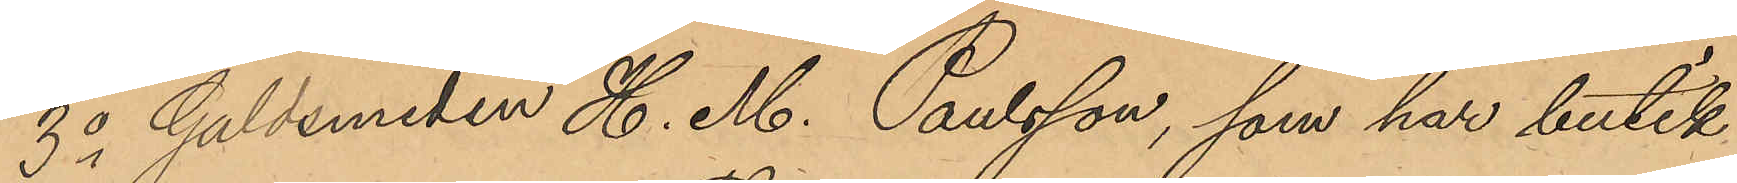3o Guldemeden H. M. Paulsson, som har butik
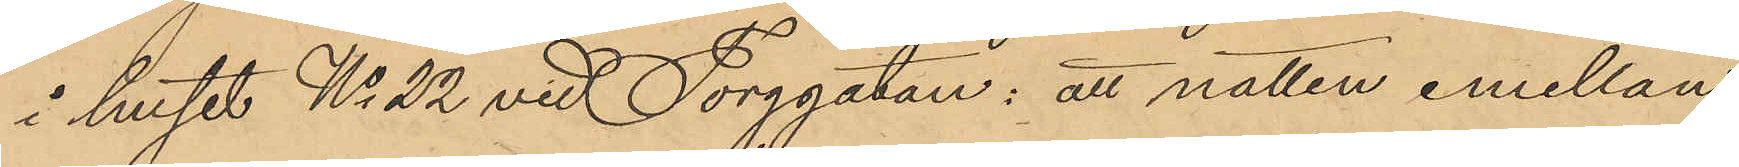i huset No 22 vid Torggatan: att natten emellan
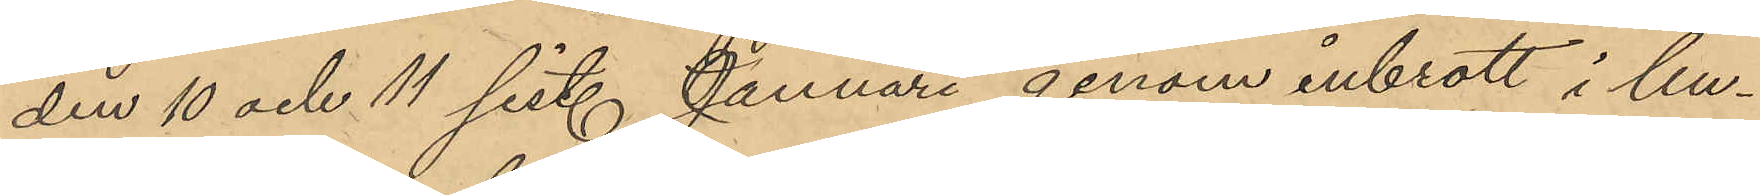den 10 och 11 sist. Januari genom inbrott i bu¬
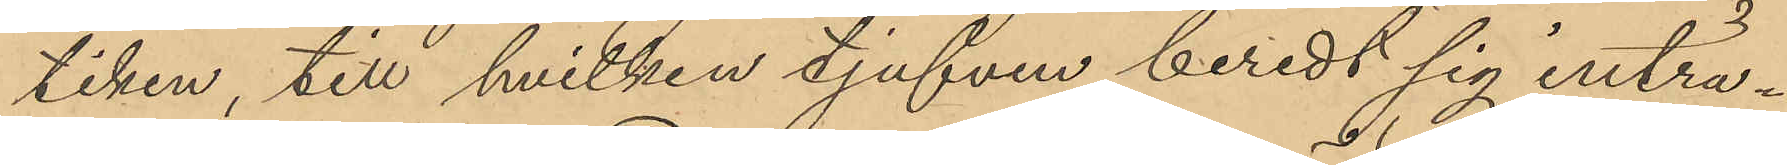tiken, till hvilken tjufven beredt sig inträ¬
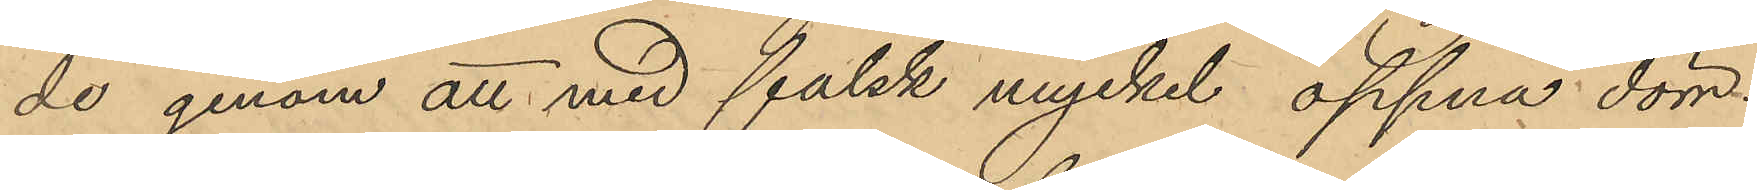de genom att med falsk nyckel öppna dörr¬
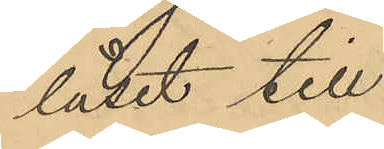låset till
